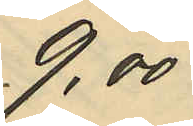9,00
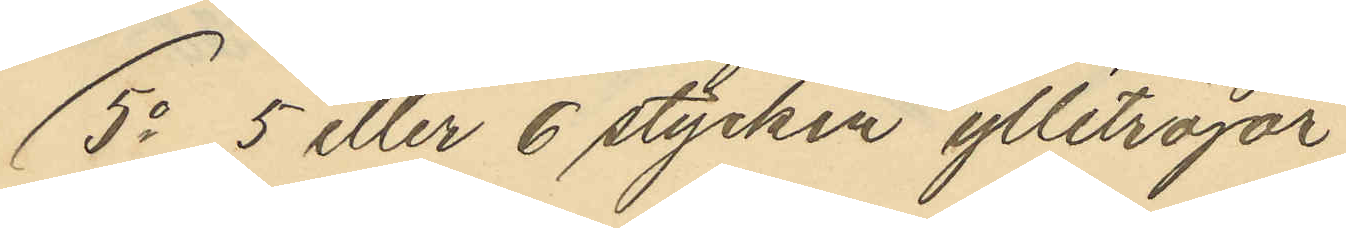5o 5 eller 6 stycken ylletröjar
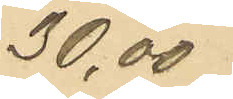30,00
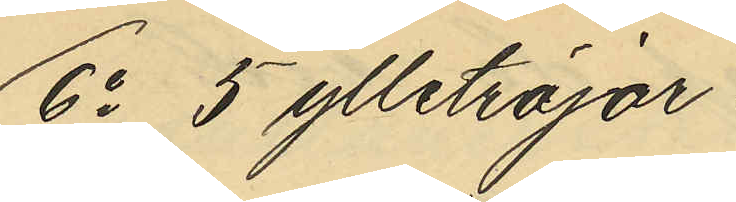6o 5 ylletröjor
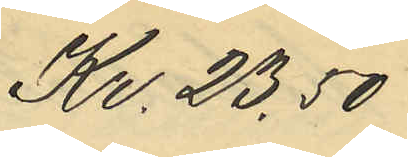Kr. 23,50
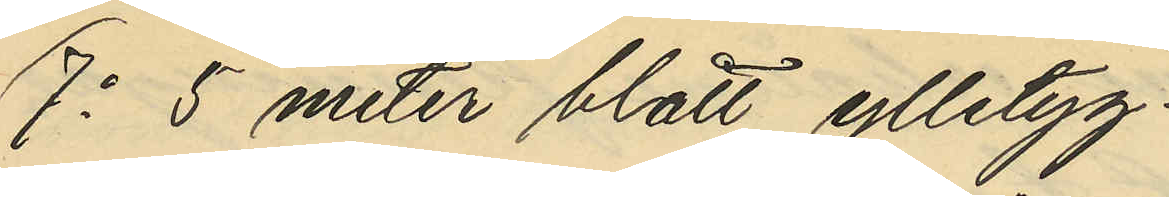7o 5 meter blått ylletyg
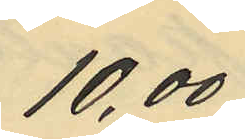10,00
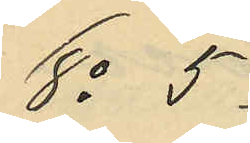8o 5
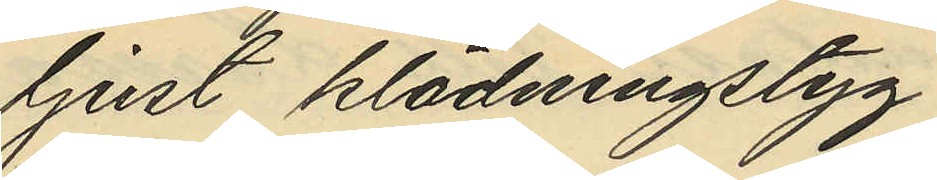ljust klädningstyg
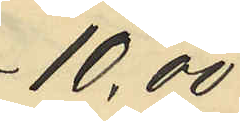10,00
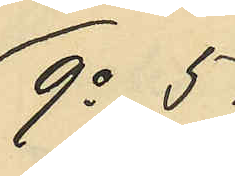9o 5
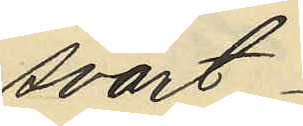svart
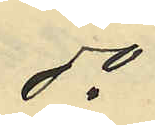do
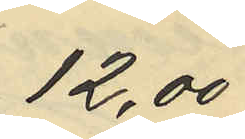12,00
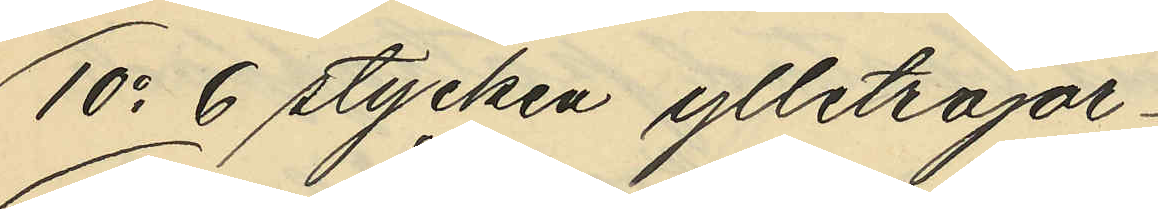10o 6 stycken ylletröjor
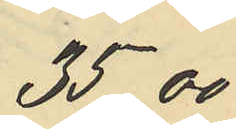35,00
